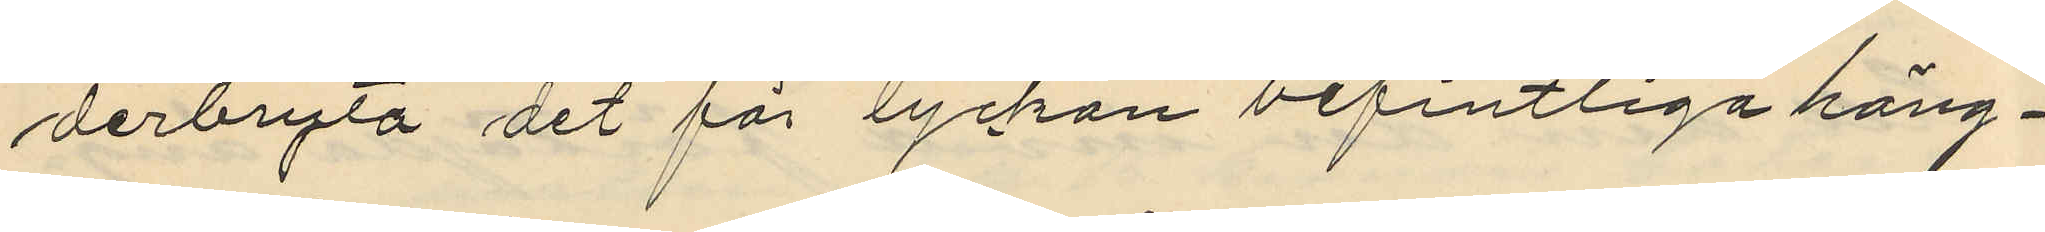derbryta det för lyckan befintliga häng¬
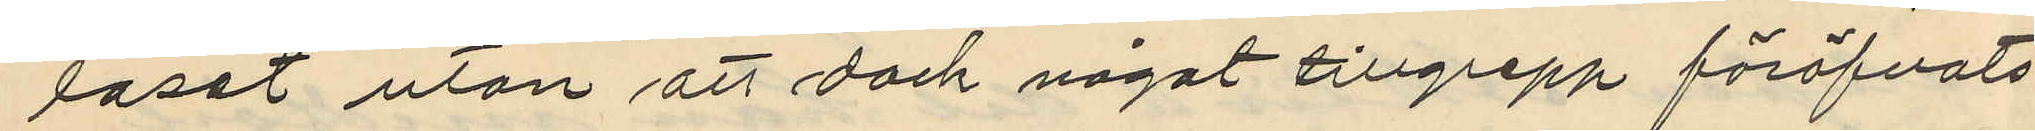låset utan att dock något tillgrepp föröfvats
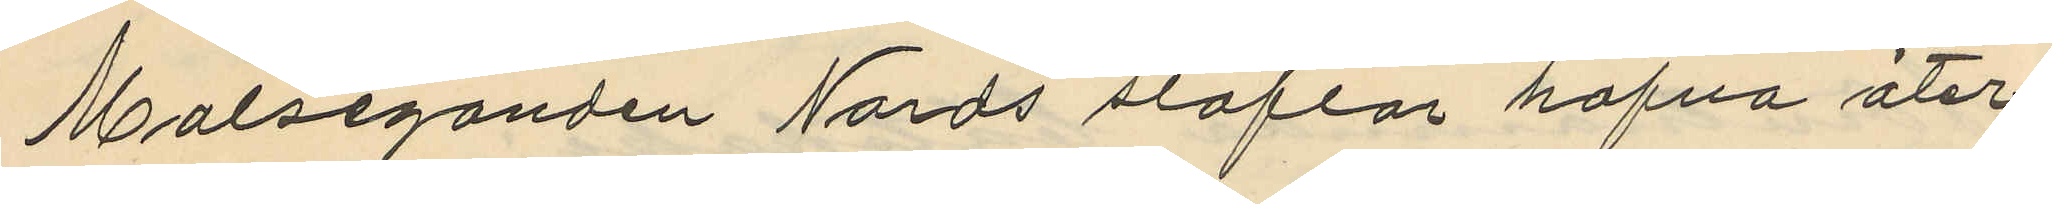Målseganden Nords stöflar hafva åter¬
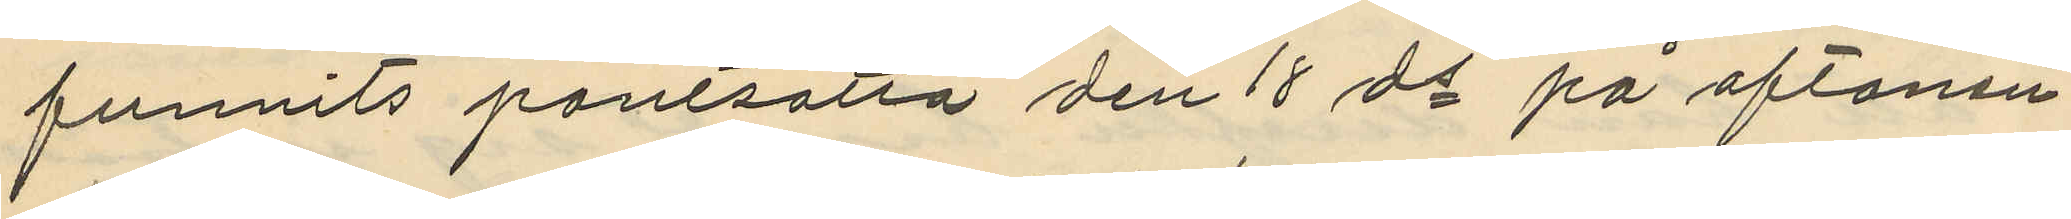funnits pantsatta den 18 ds på aftonen
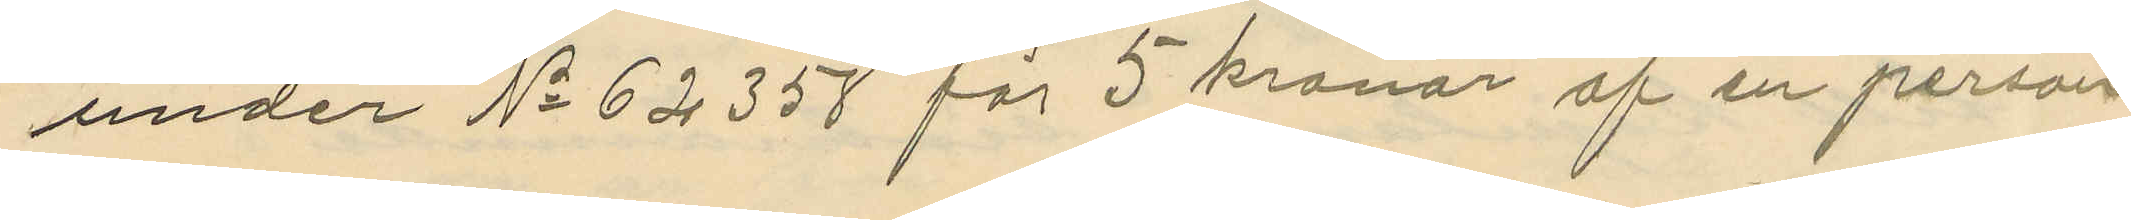under No 62358 för 5 kronor af en person
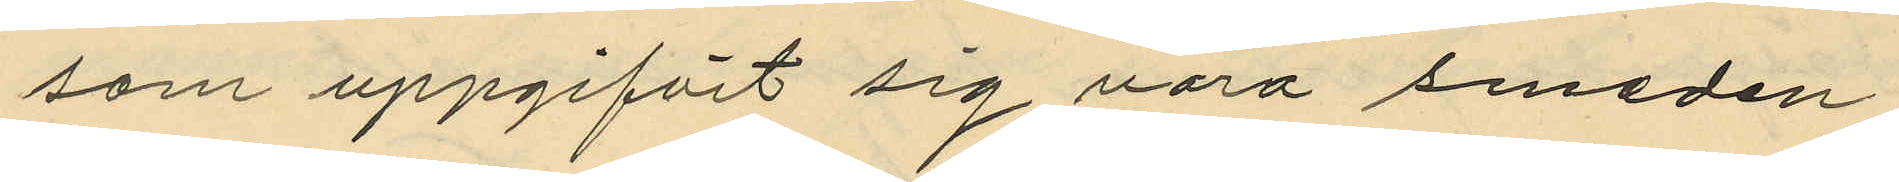som uppgifvit sig vara smeden
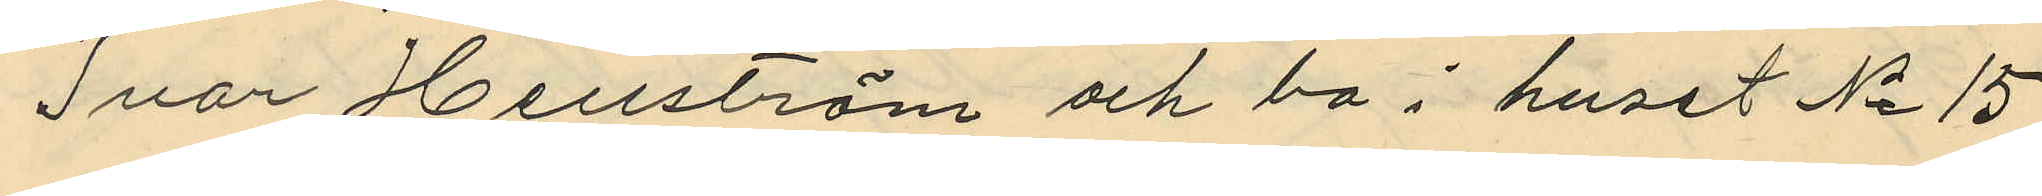Ivar Hellström och bo i huset No 15
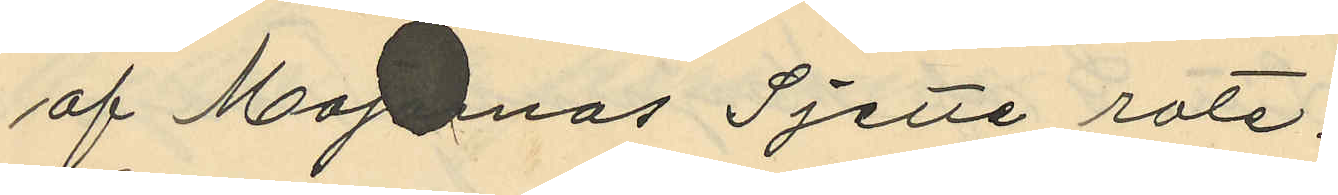af Majornas Sjette rote.
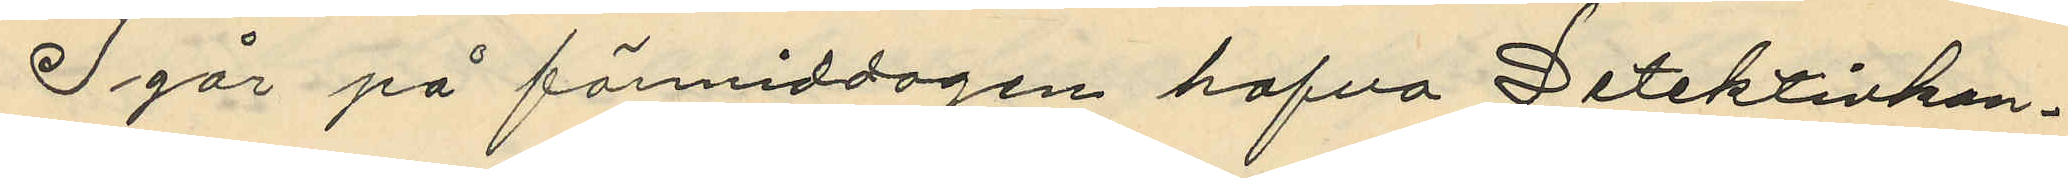I går på förmiddagen hafva Detektivkon¬
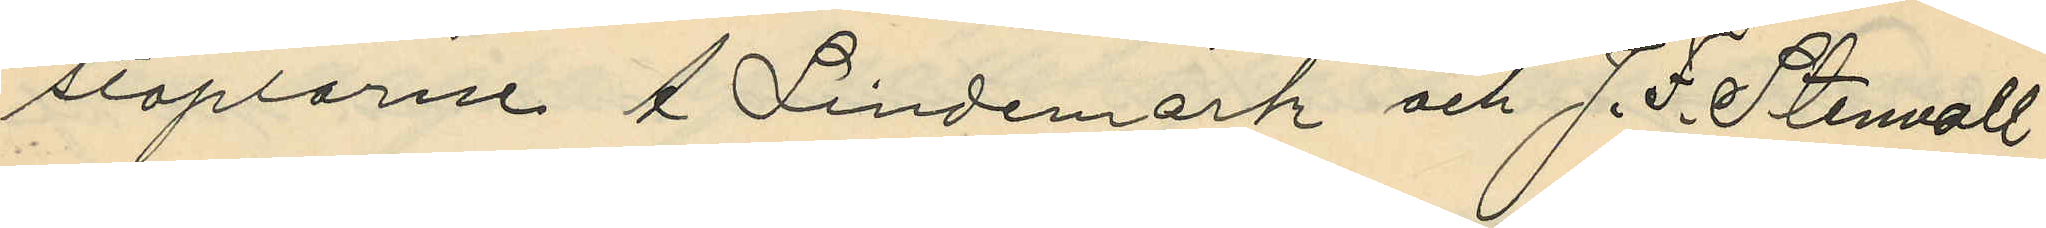staplarne A. Lindemark och J. F. Stenvall
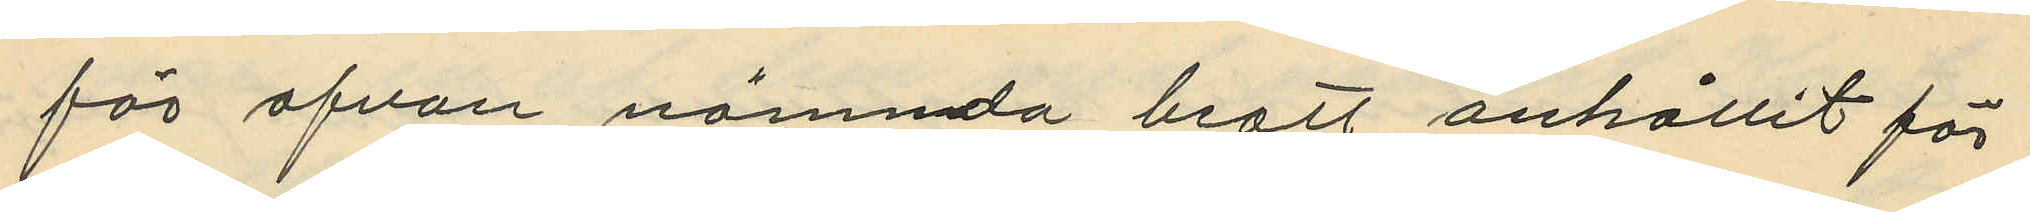för ofvan nämnda brott anhållit för
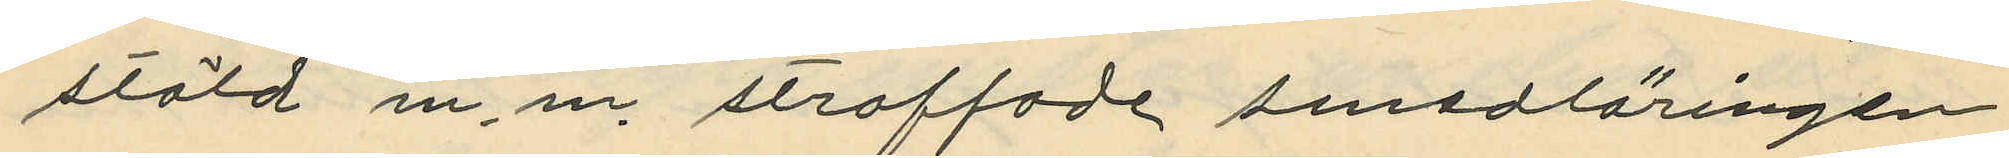stöld m.m. straffade smedläringen
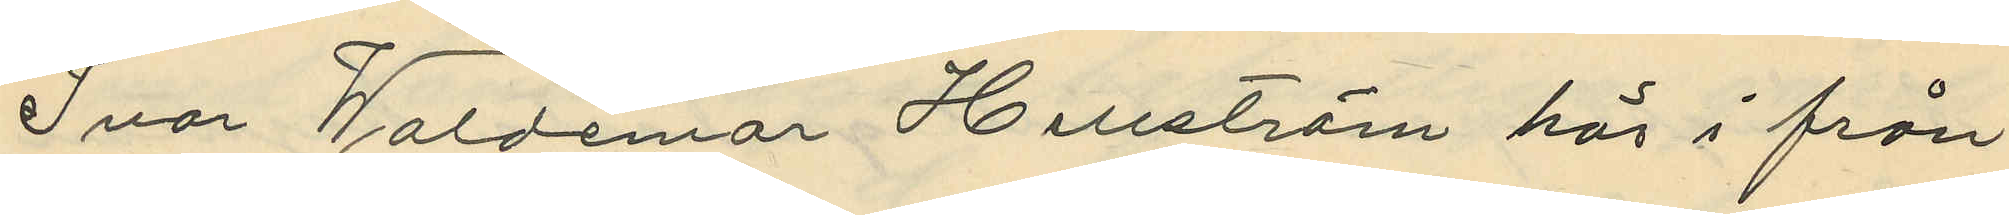Ivar Waldemar Hellström här i från
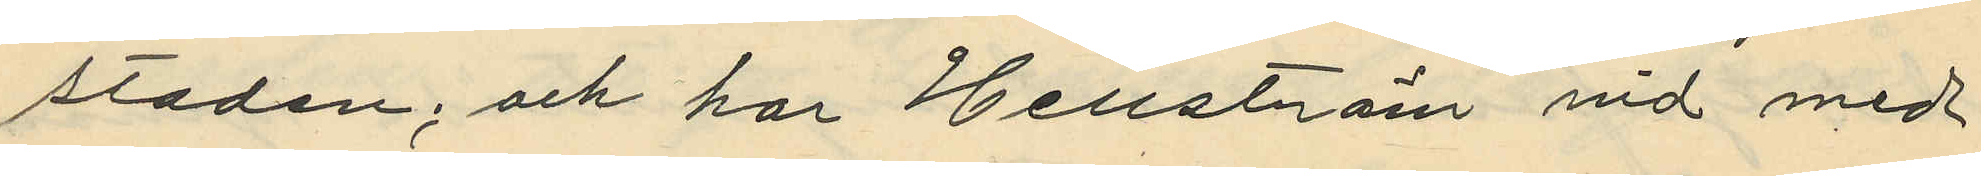staden; och har Hellström vid med
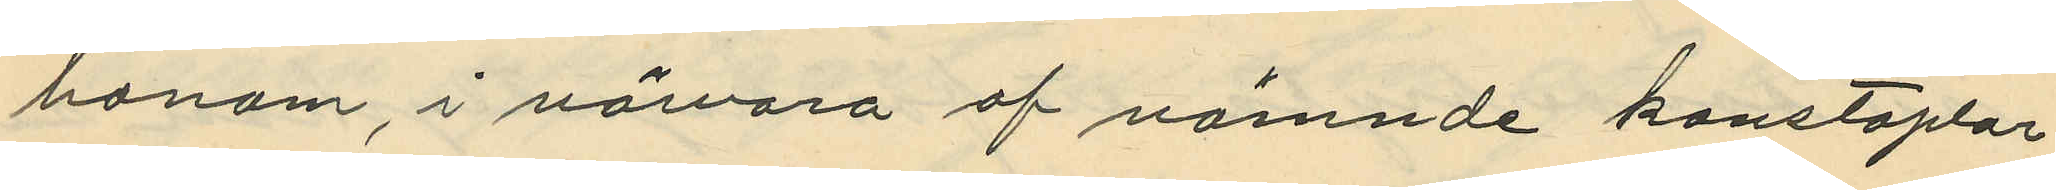honom, i närvaro af nämnde konstaplar
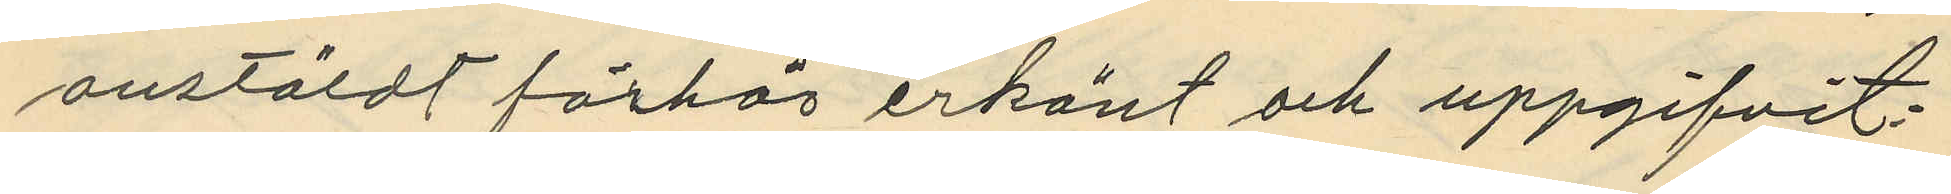anstäldt förhör erkänt och uppgifvit:
